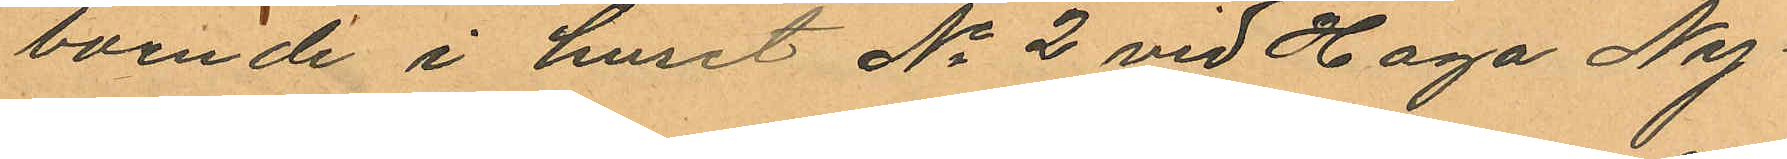boende i huset No 2 vid Haga Ny¬
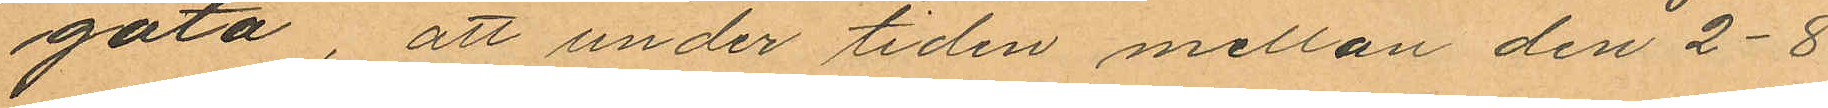gata, att under tiden mellan den 2-8
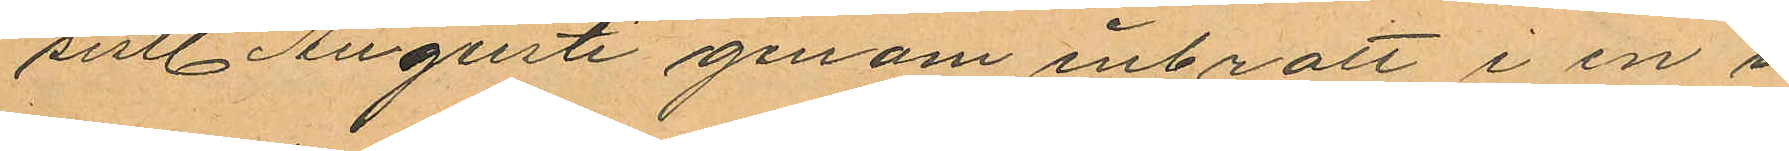sistl. Augusti genom inbrott i en i
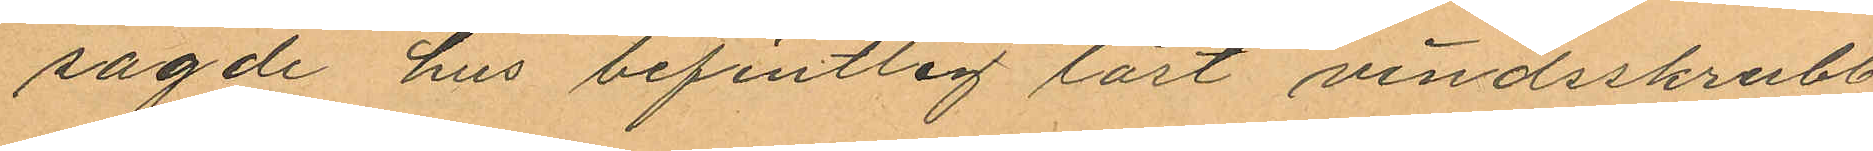sagde hus befintlig låst vindsskrubb
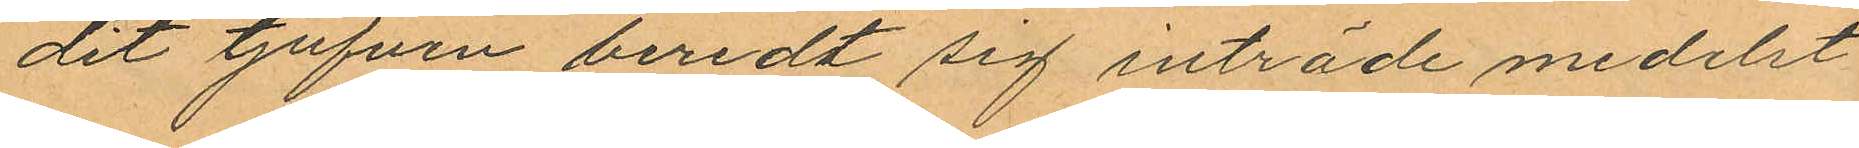dit tjufven beredt sig inträde medelst
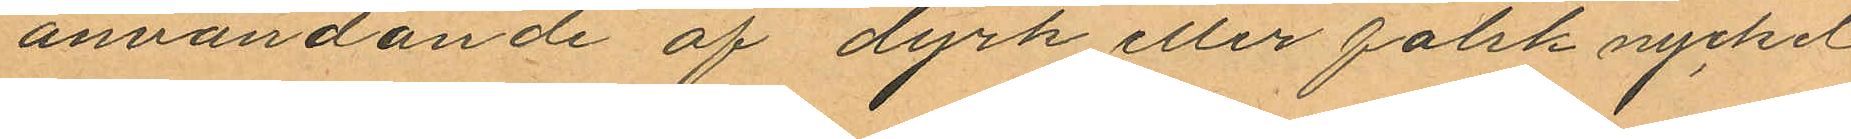användande af dyrk eller falsk nyckel
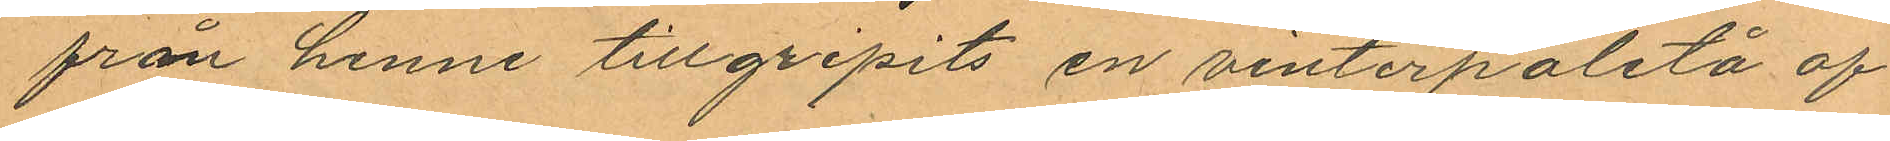från henne tillgripits en vinterpaletå af
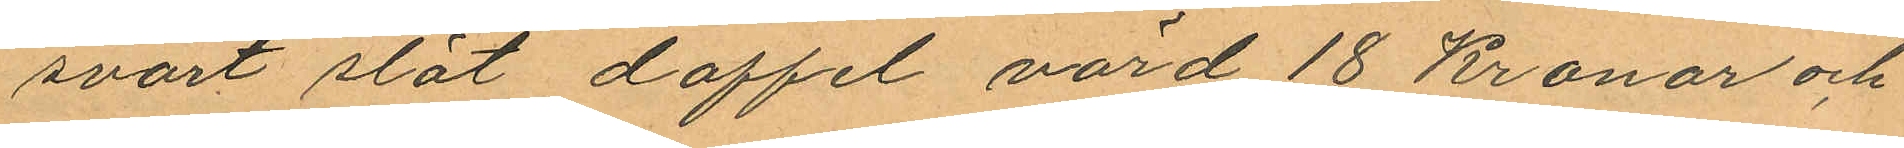svart slät doffel, värd 18 Kronor och
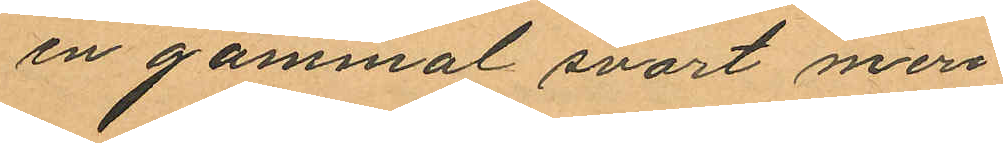en gammal svart meri
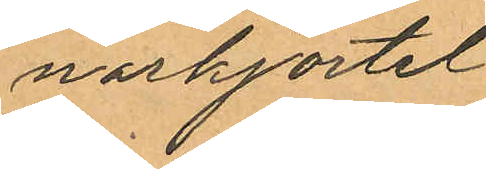norkjortel
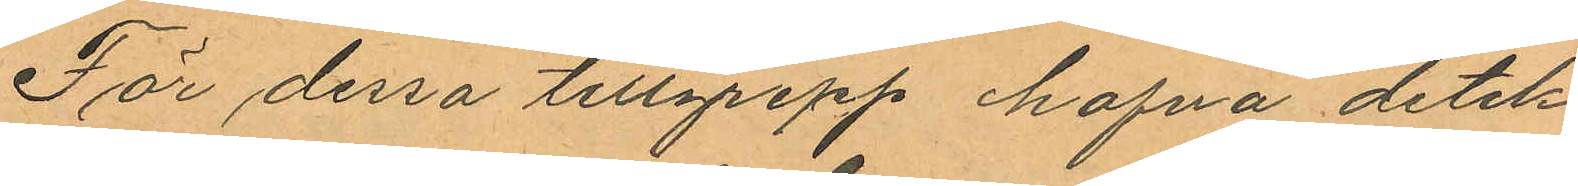För dessa tillgrepp hafva detek¬
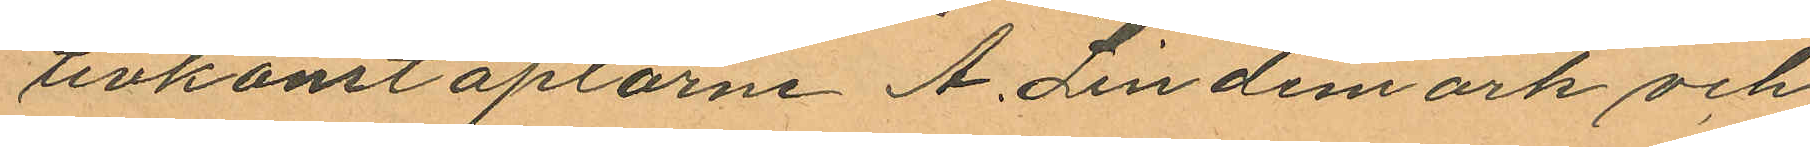tivkonstaplarne A. Lindemark och
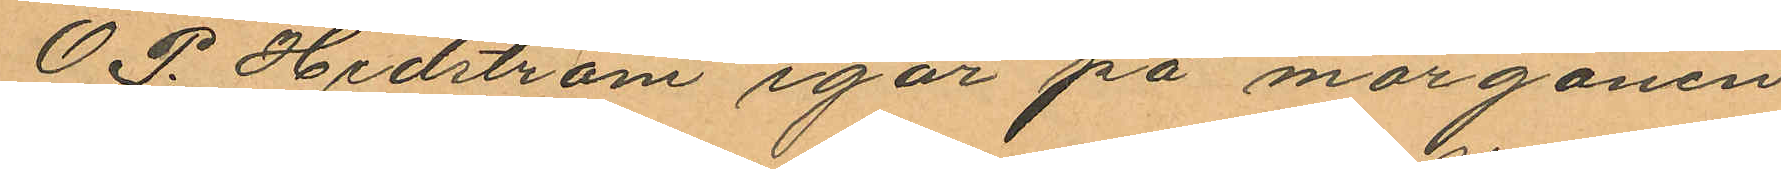O. P. Hedström igår på morgonen
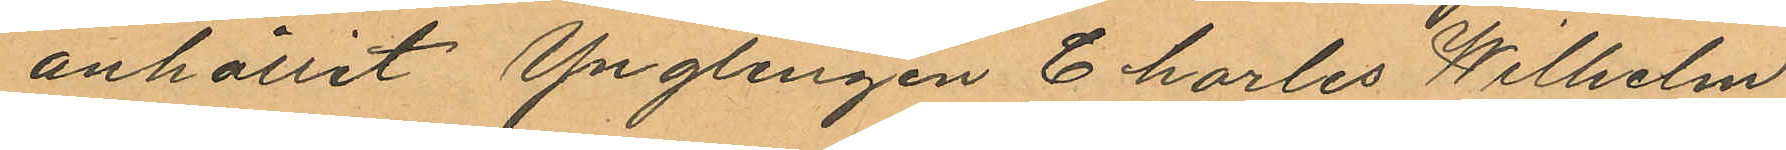anhållit Ynglingen Charles Wilhelm
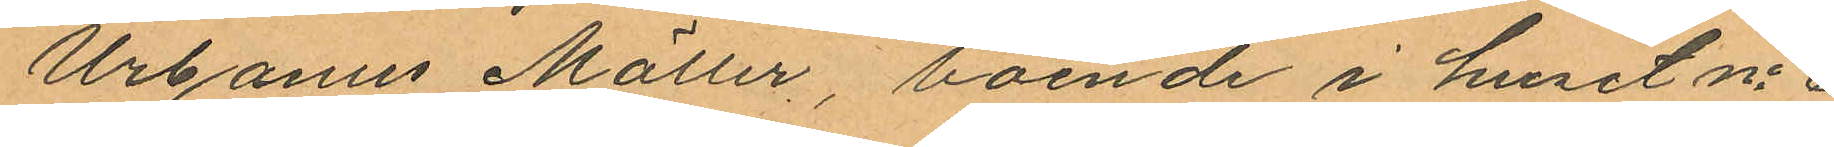Urbanus Möller, boende i huset No 6
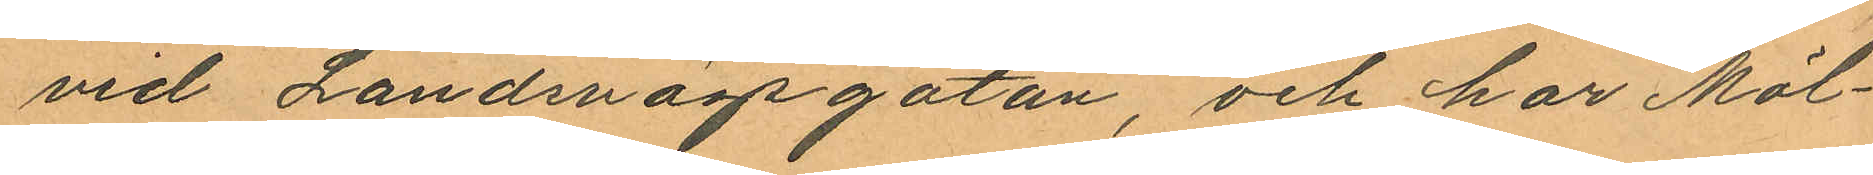vid Landsvägsgatan, och har Möl¬
